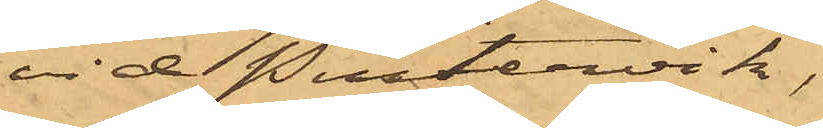vid Pustervik
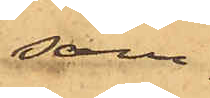sam¬
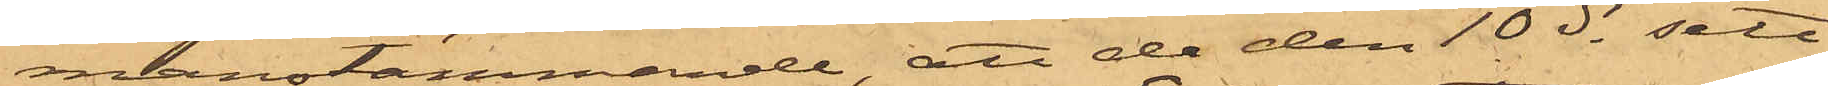manstämmande, att de den 10 ds sett
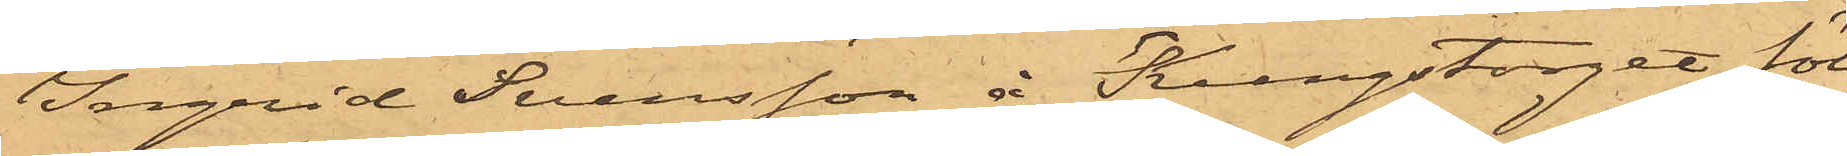Ingrid Svensson å Kungstorget föl¬
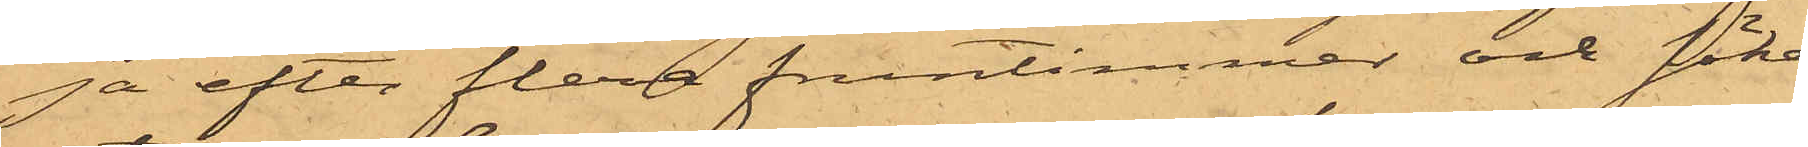ja efter flera fruntimmer och söka
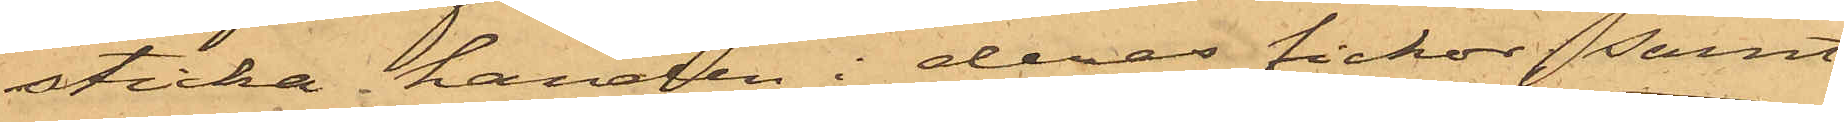sticka handen i deras fickor, samt
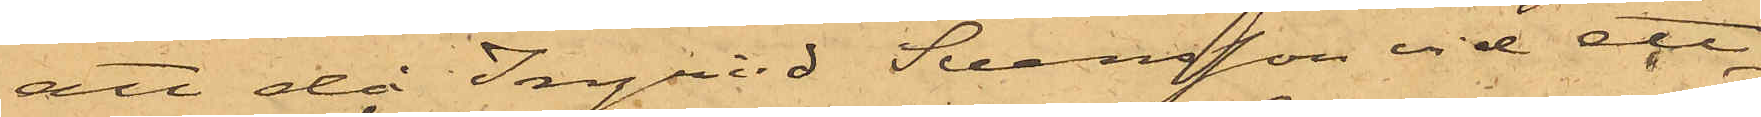att då Ingrid Svensson vid ett
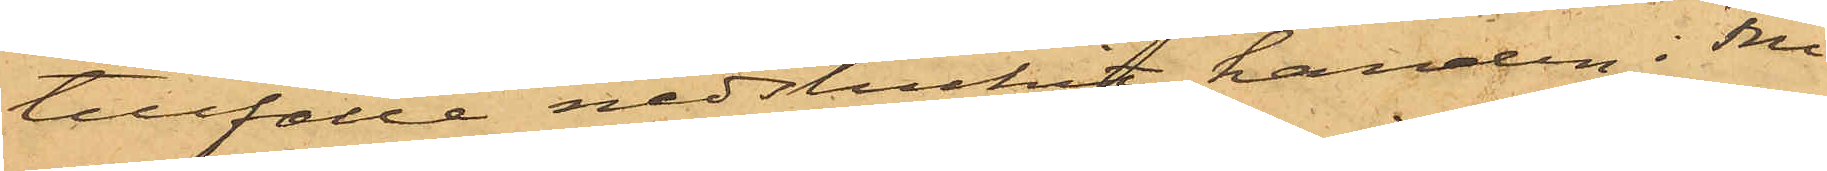tillfälle nedstuckit handen i Fru
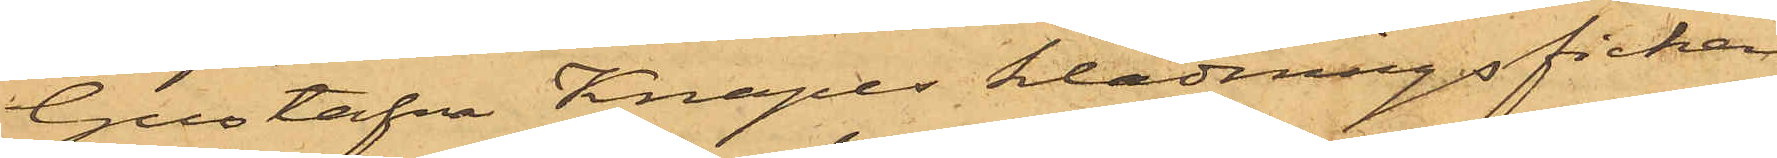Gustafva Knapes klädningsficka
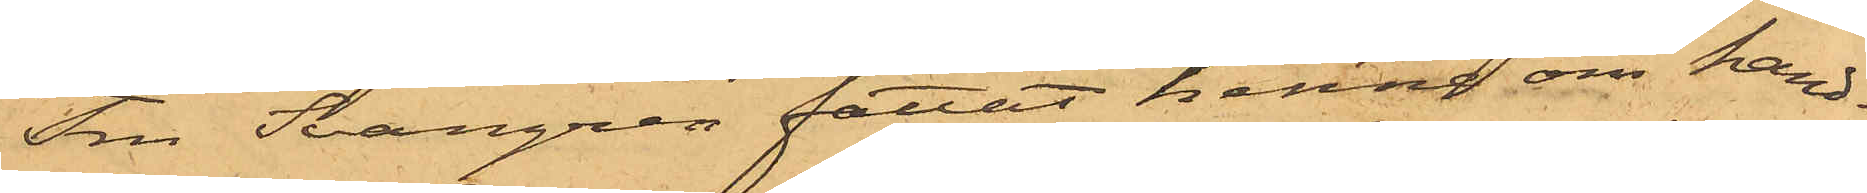Fru Svangren fattat henne om hand¬
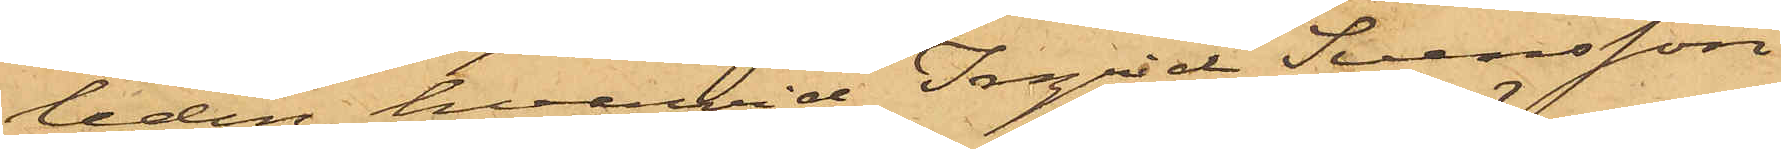leden, hvarvid Ingrid Svensson
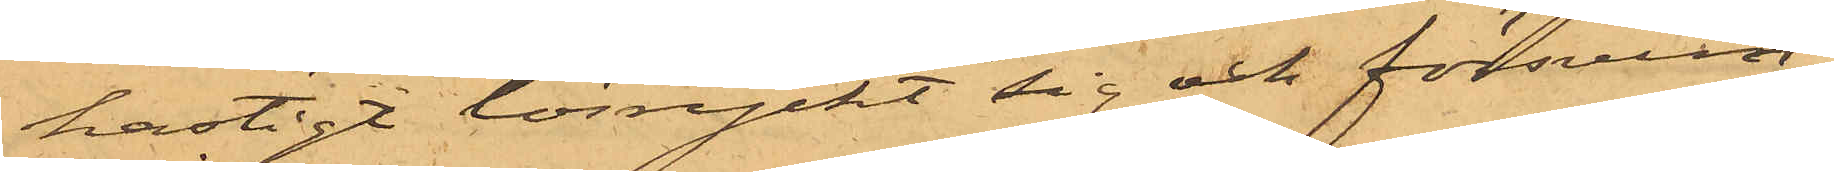hastigt lösryckt sig och försvun¬
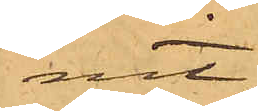nit.
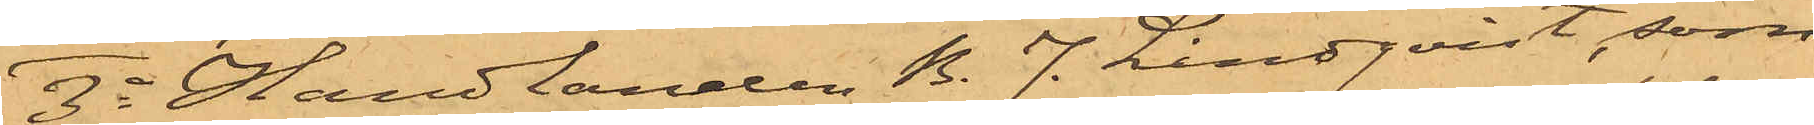3o Handlanden B. J. Lindqvist, som
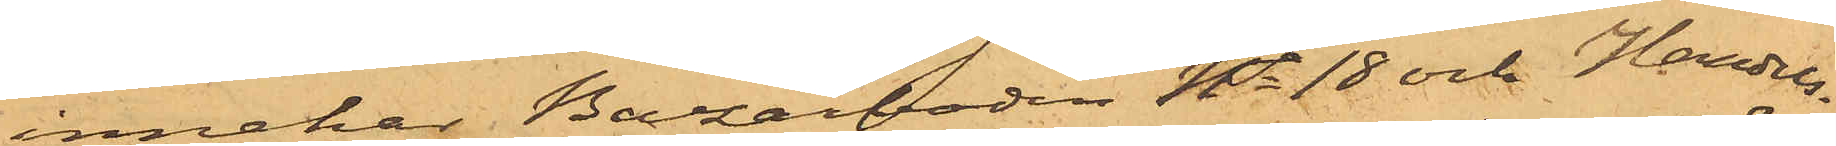innehar Bazarboden No 18 och Handels¬
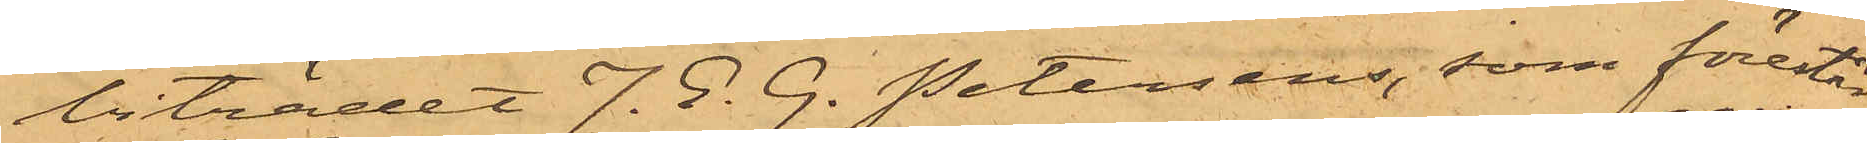biträdet J. E. G. Petersens, som förestår
